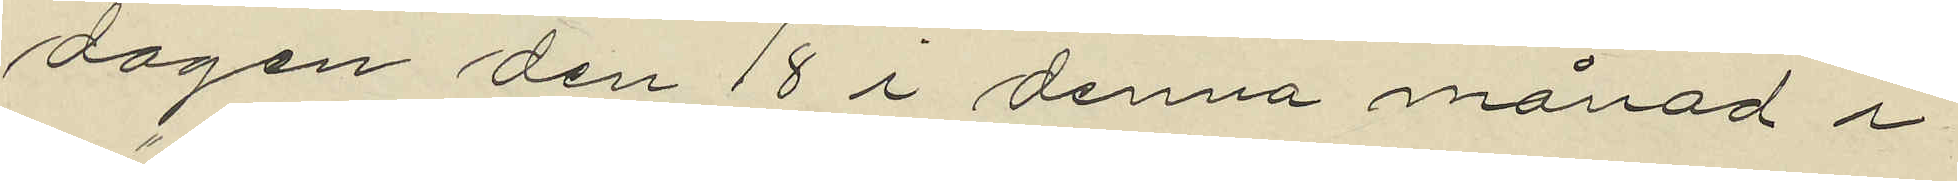dagen den 18 i denna månad i
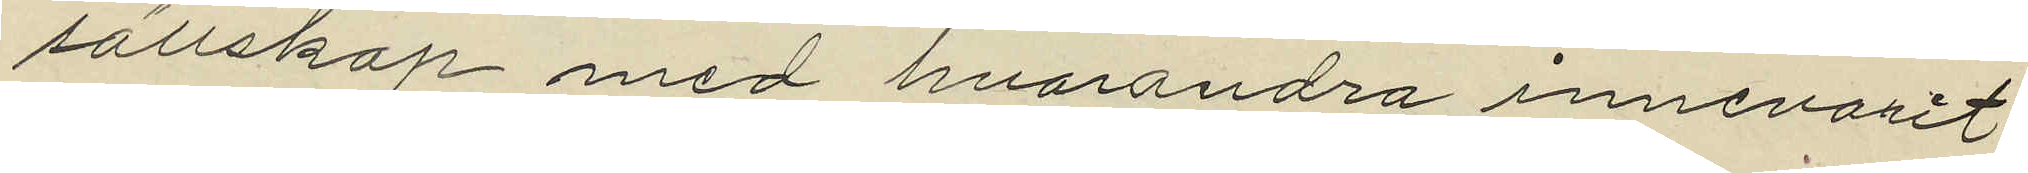sällskap med hvarandra innevarit
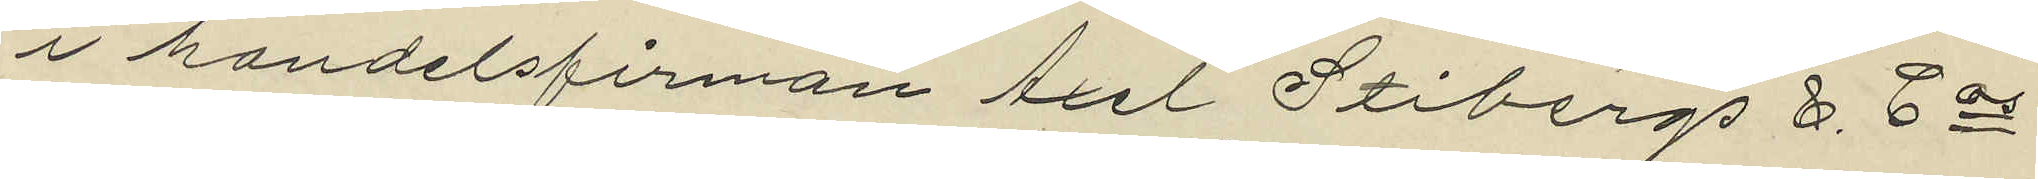i handelsfirman Axel Stibergs &. Cos
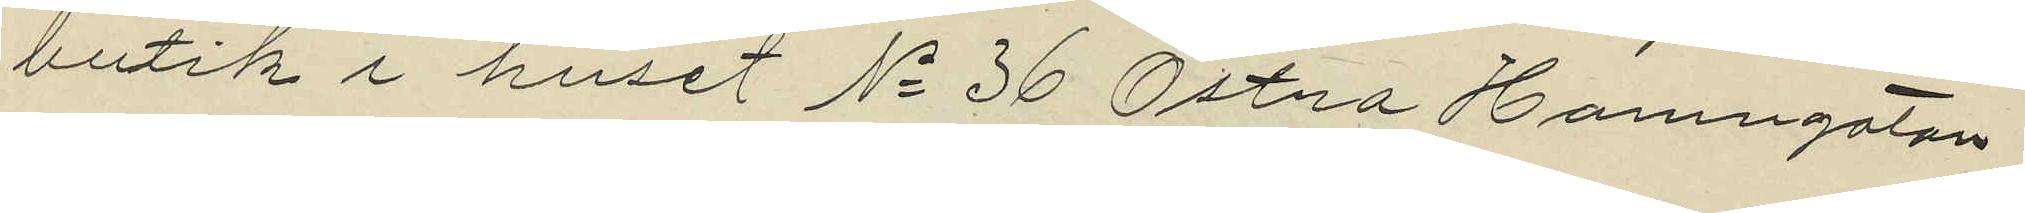butik i huset No 36 Östra Hamngatan
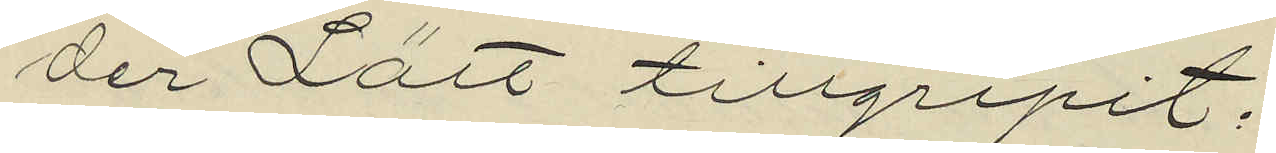der Lätt tillgripit:
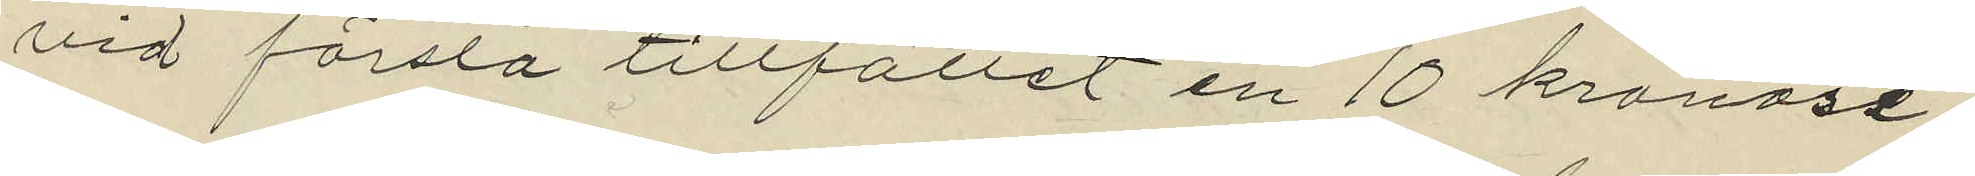vid första tillfället en 10 kronose¬
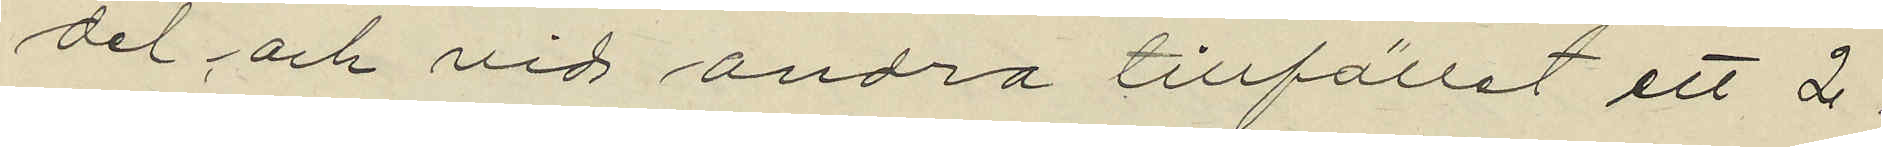del och vid andra tillfället ett 2
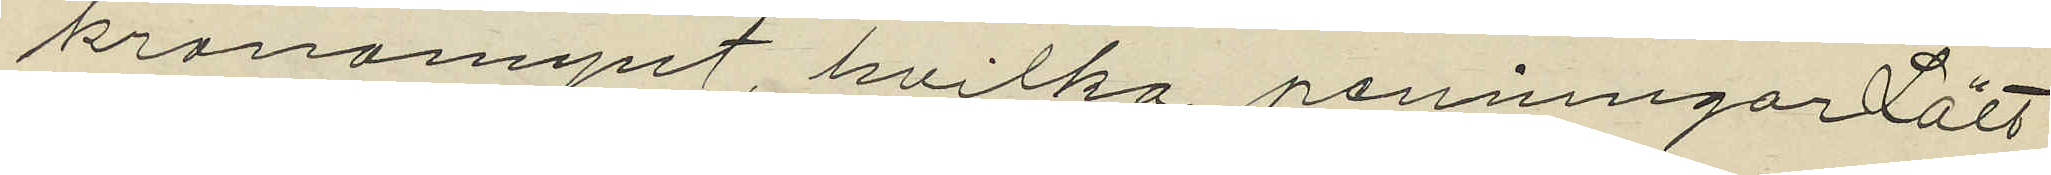kronomynt, hvilka penningar Lätt
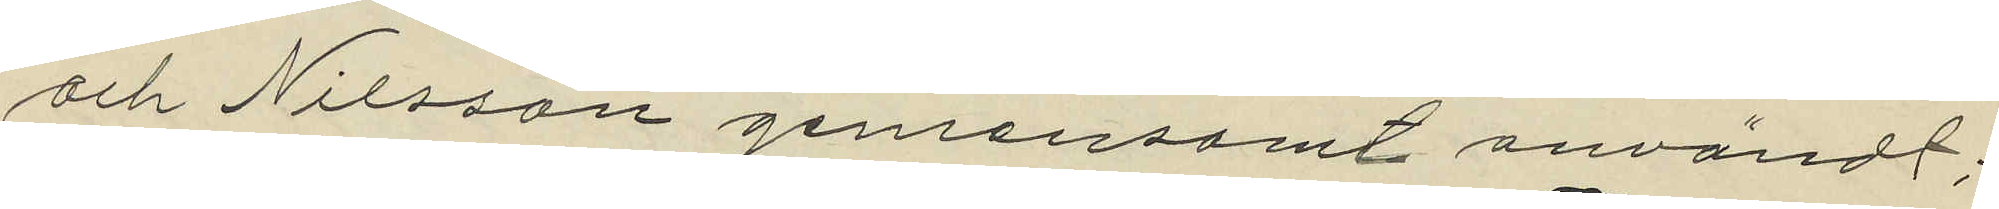och Nilsson gemensamt användt;
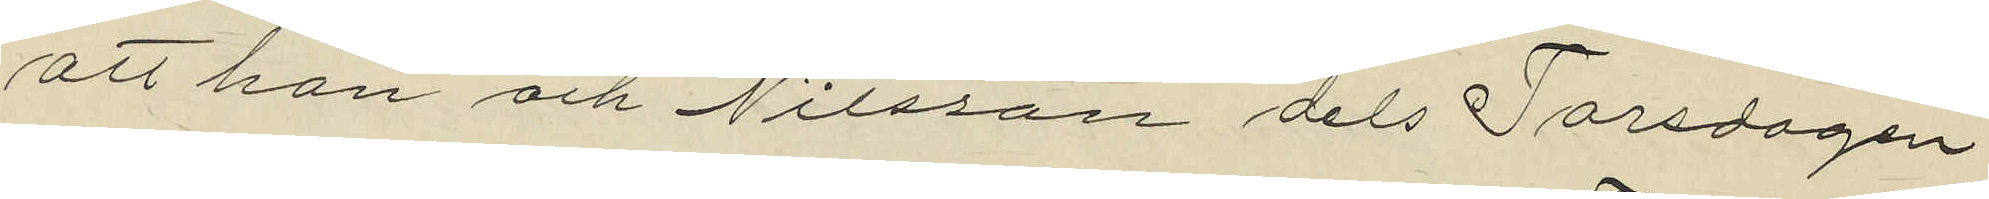att han och Nilsson dels Torsdagen
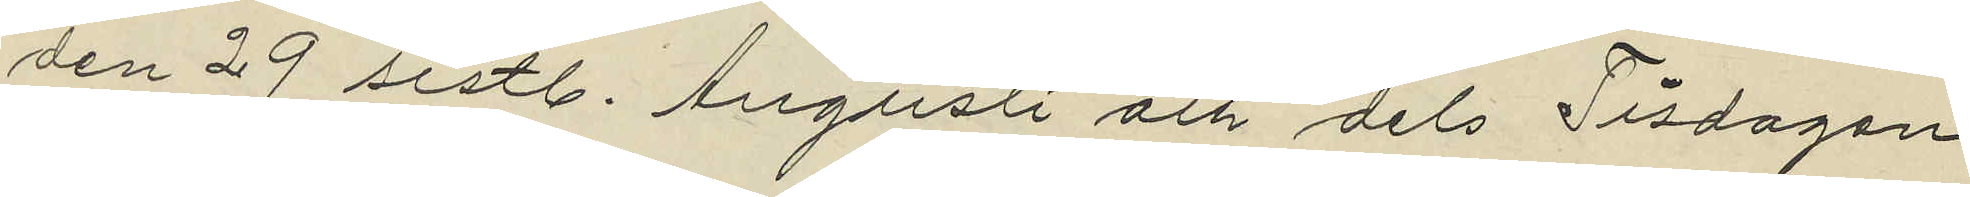den 29 sistl. Augusti och dels Tisdagen
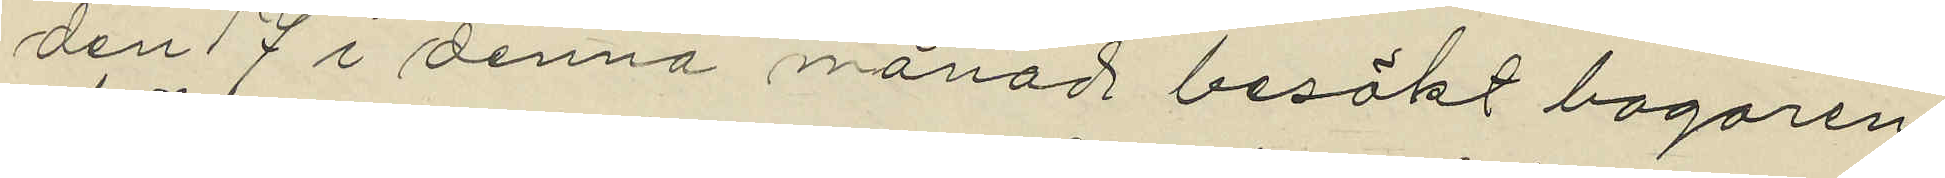den 17 i denna månad besökt bagaren
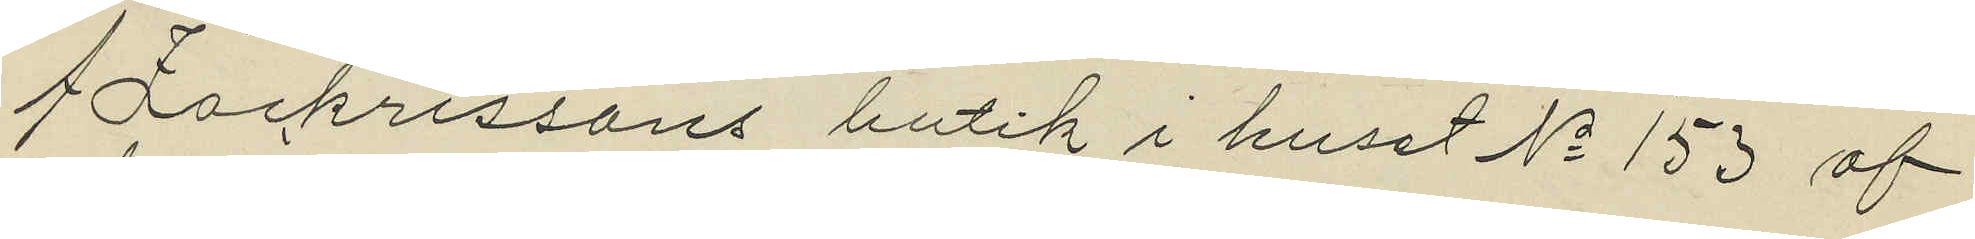Zackrissons butik i huset No 153 af
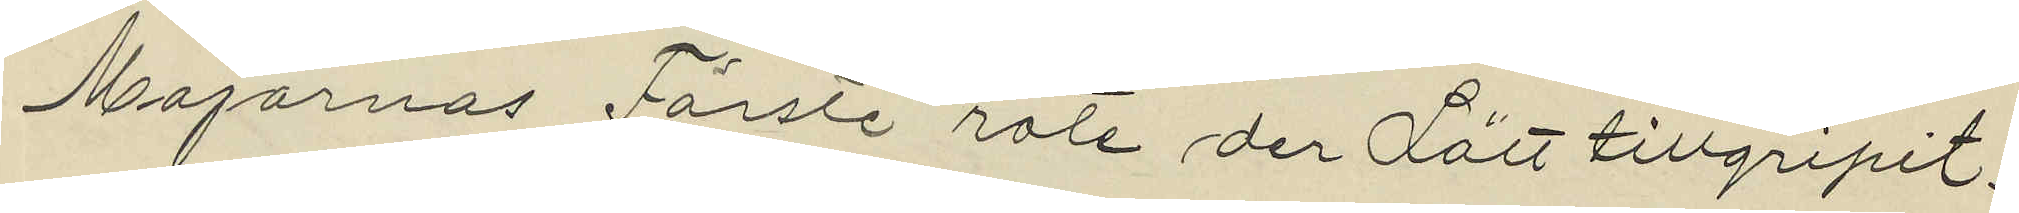Majornas Förste rote der Lätt tillgripit.
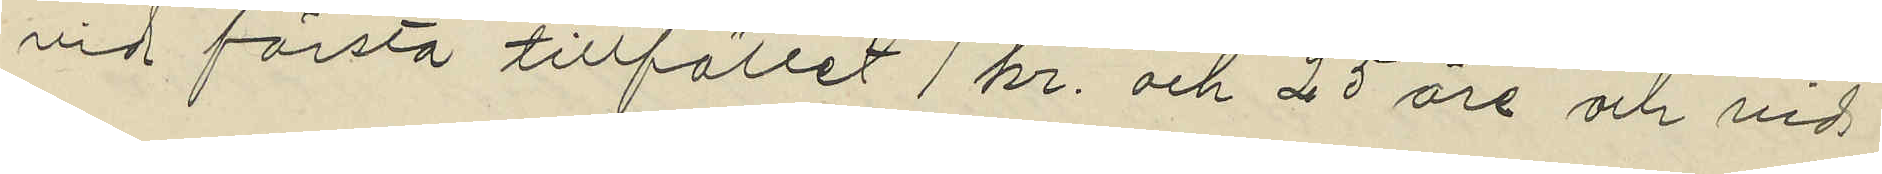vid första tillfället 1 kr. och 25 öre och vid
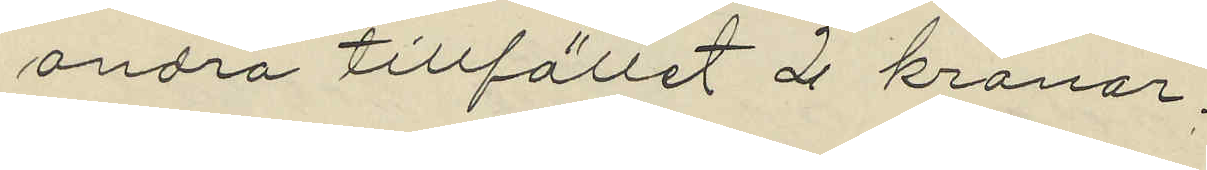andra tillfället 2 kronor,
